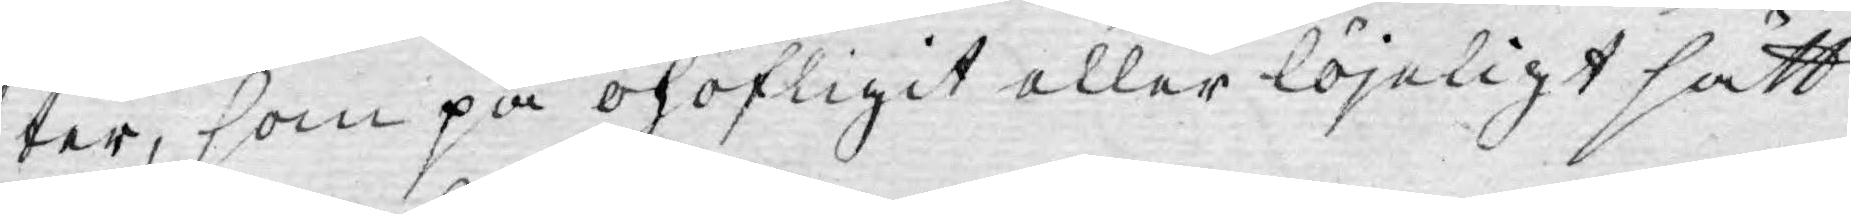ter, som på ohöfligit eller löjeligt sätt
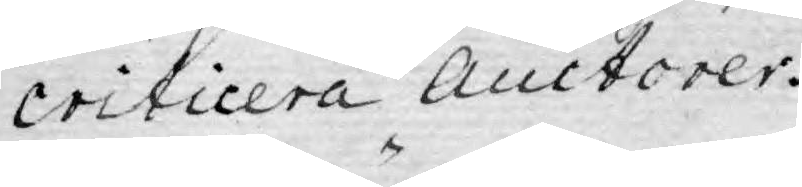criticera Auctorer.
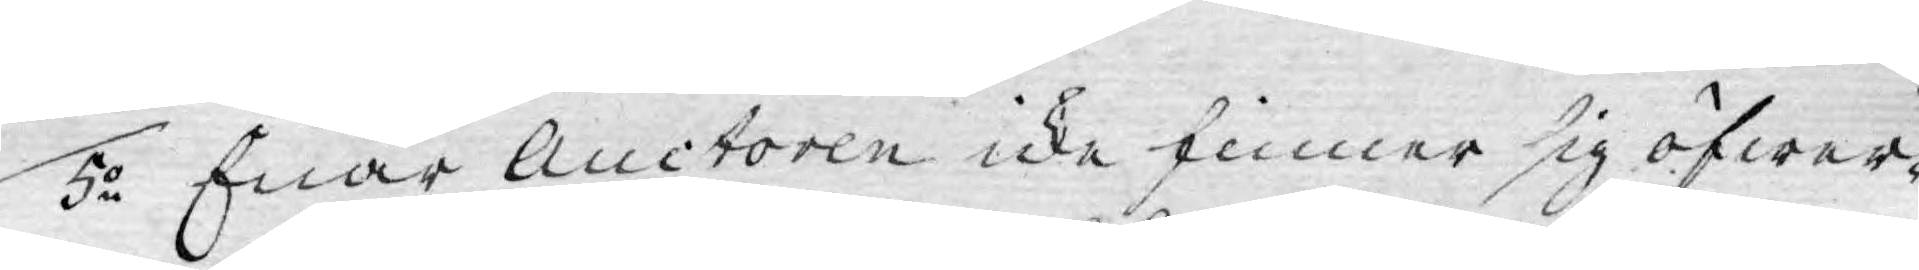5o Enär Auctoren icke finner sig öfwer¬
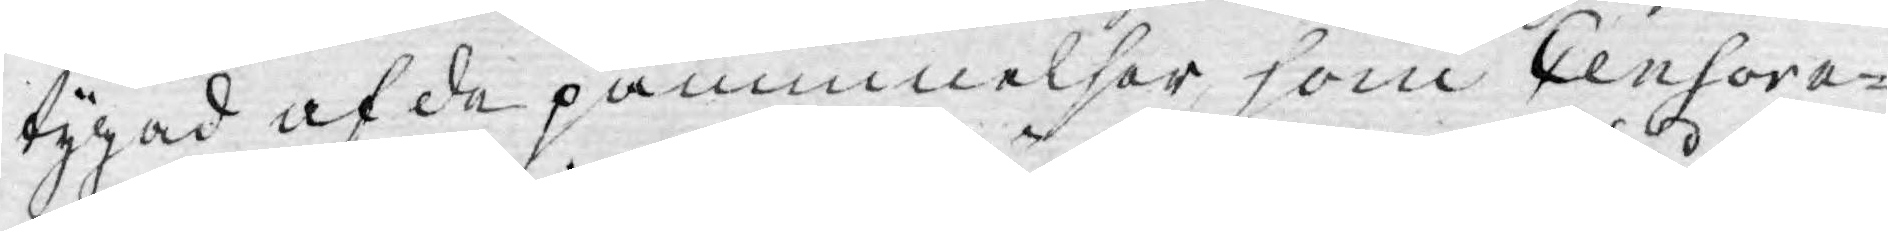tygad af de påminnelser som Censor e¬
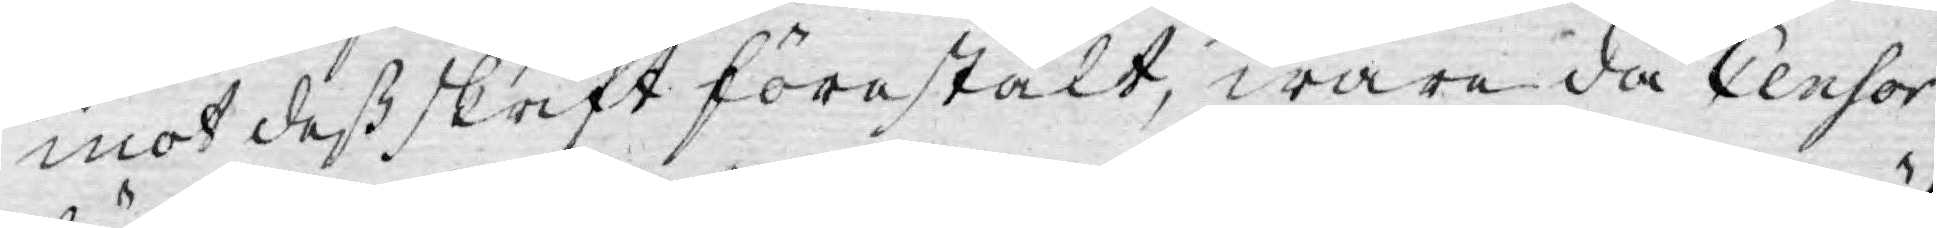mot dess skrift förestält, wara då Censor
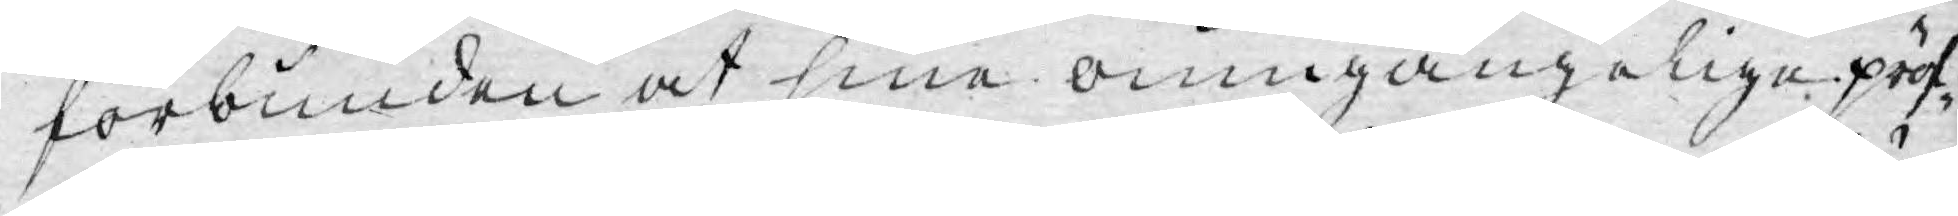förbunden at sine oumgängelige pröf¬
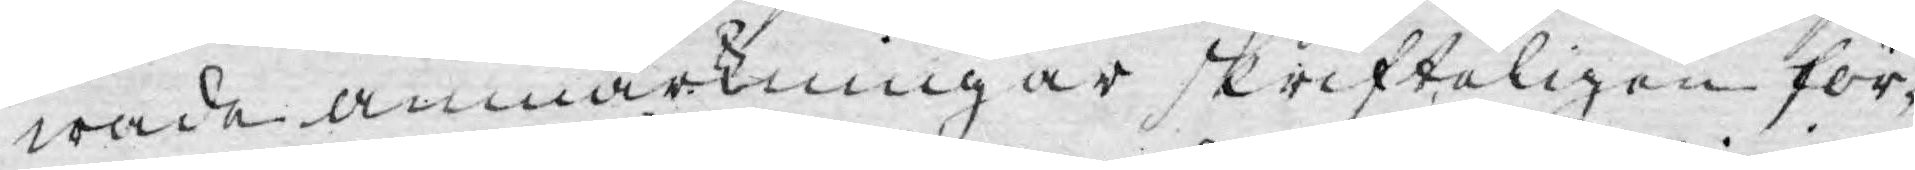wade anmärkningar skrifteligen för¬
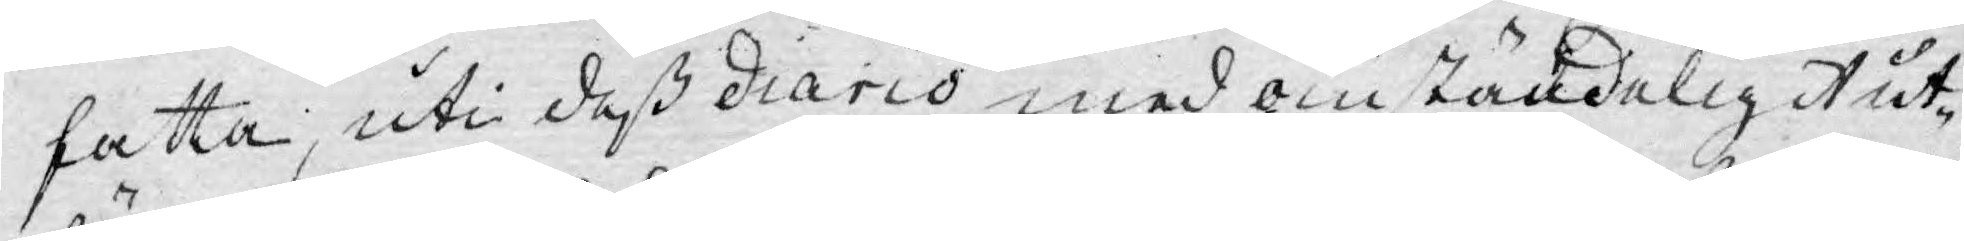fatta, uti deß diario med omständeligt ut¬
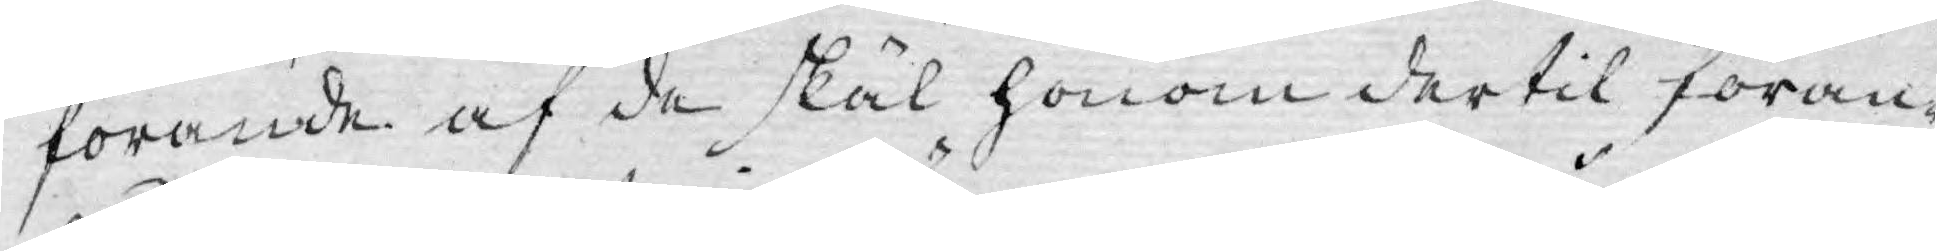förande af de skäl honom dertil föran¬
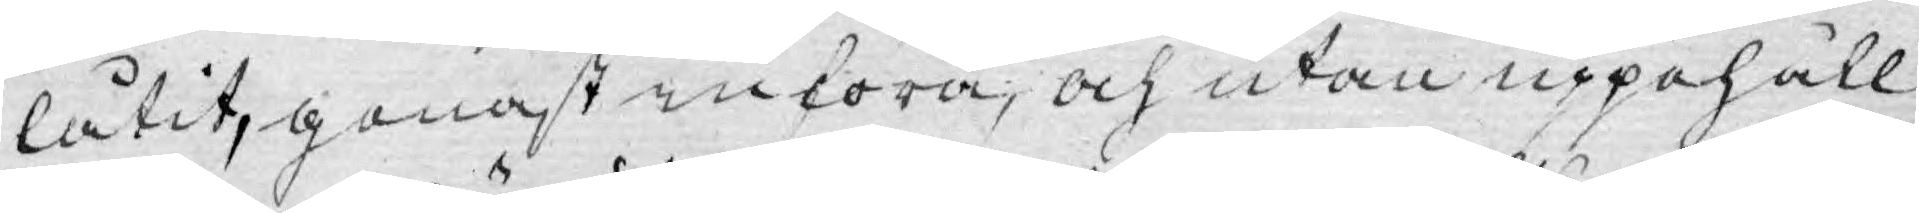låtit, genast införa, och utan uppehåll
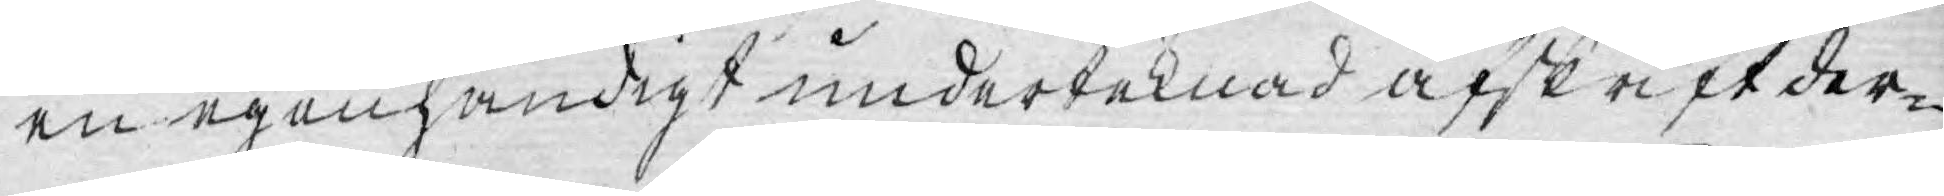en egenhändigt underteknad afskrift der¬
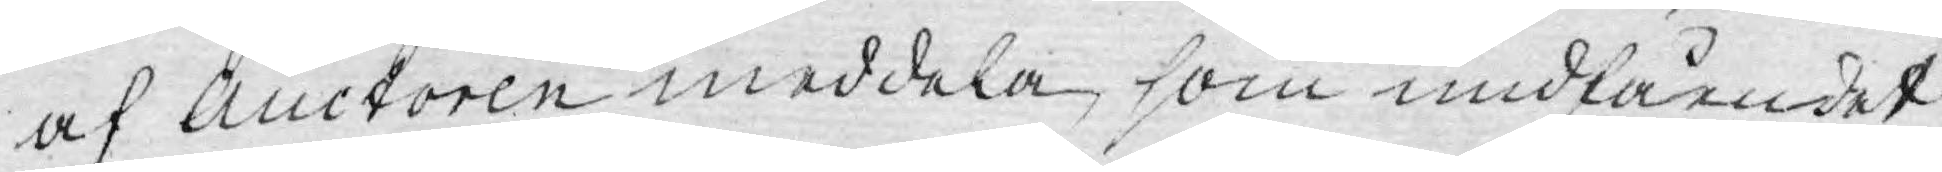af Auctoren meddela, som undfåendet
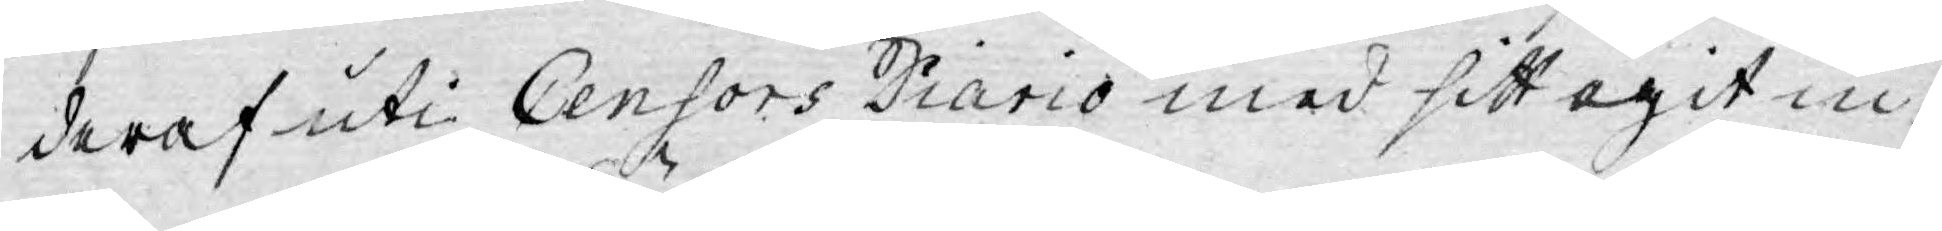deraf uti Censors Diario med sitt egit in¬
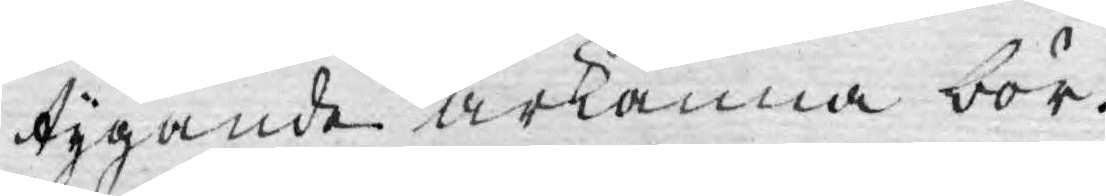tygande ärkänna bör.
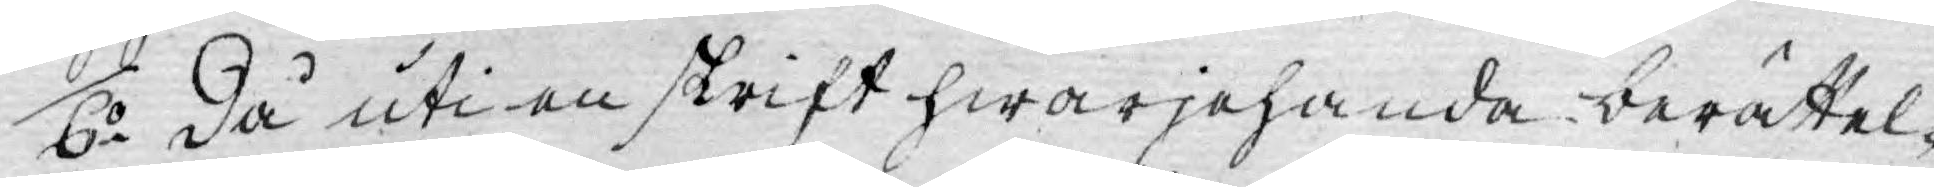6o Då uti en skrift hwarjehanda berättel¬
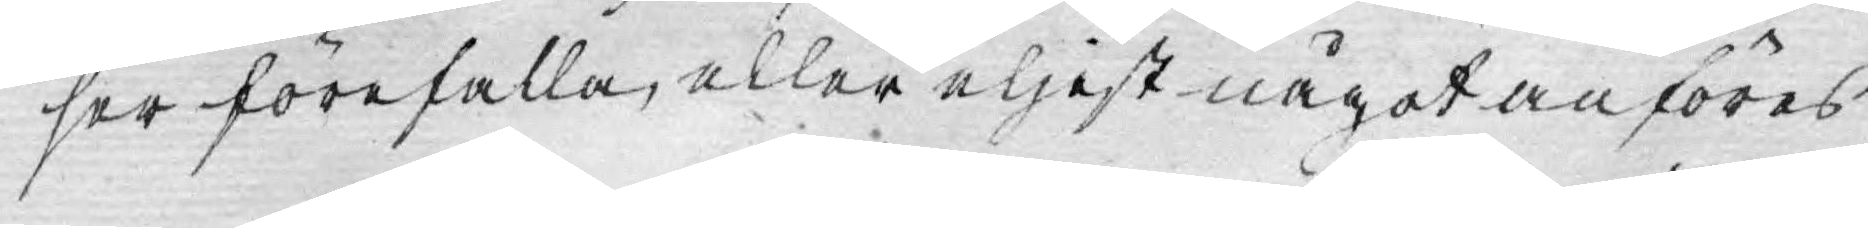ser förefalla, eller eljest något anföres
